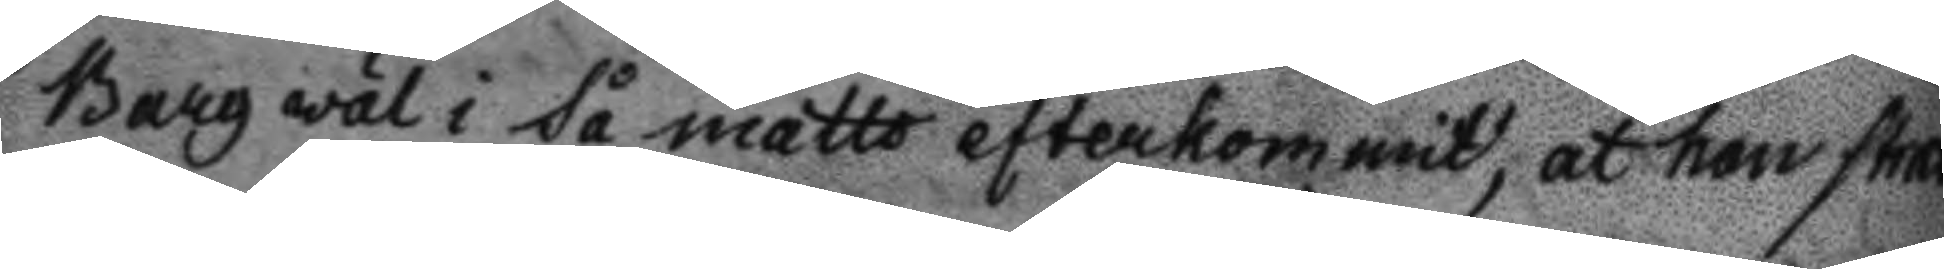Berg väl i så måtto efterkommit, at han strax
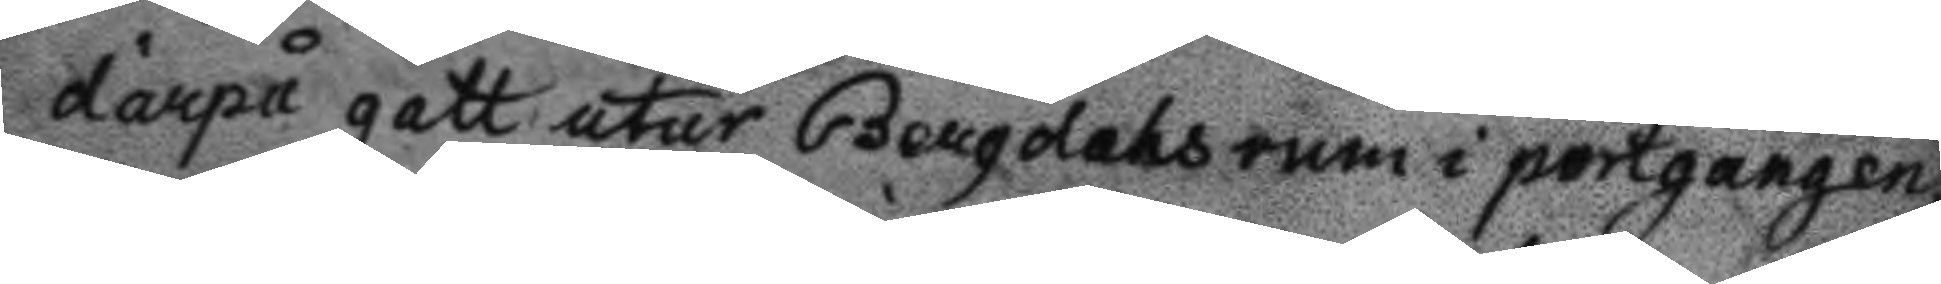därpå gått utur Bergdahls rum i portgangen
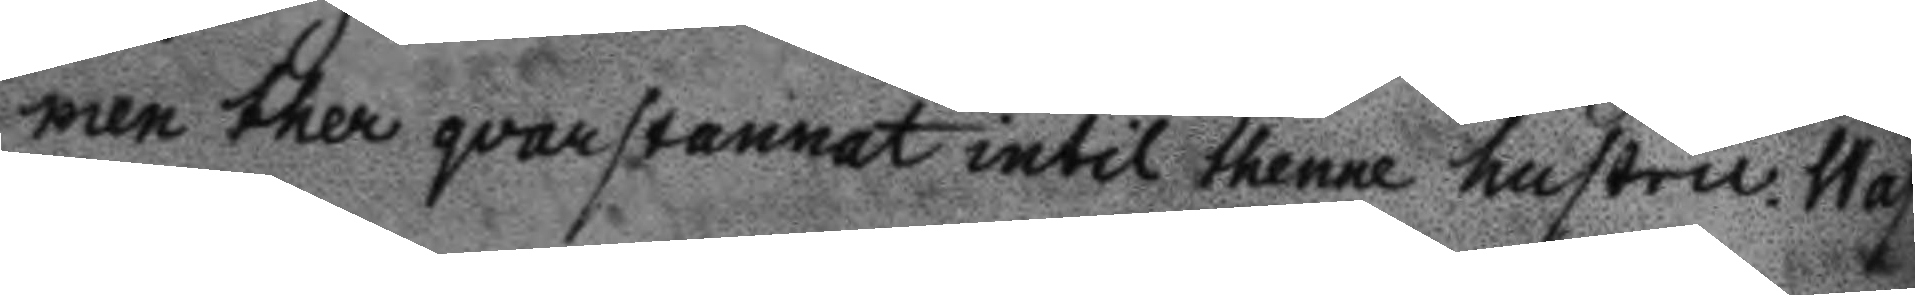men ther qvarstannat intil thenne hustru Wast¬
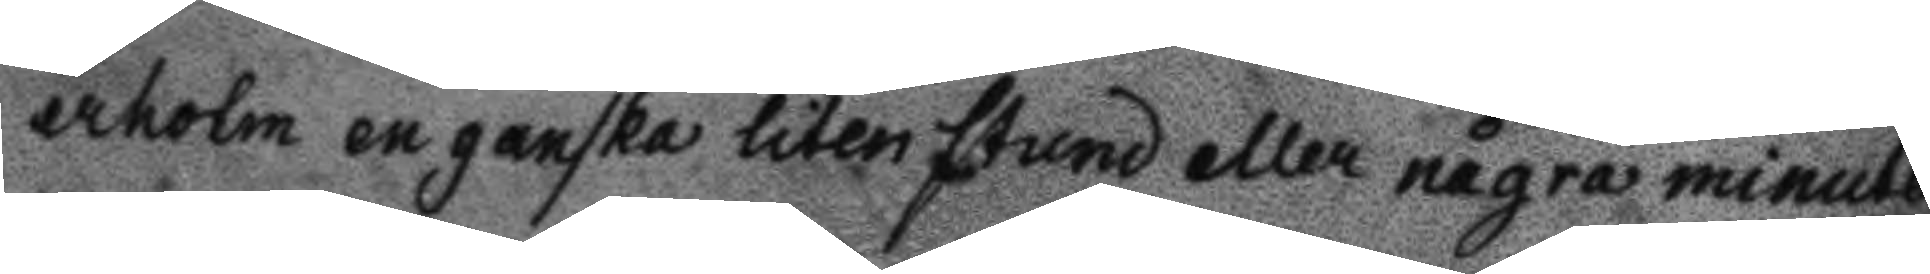erholm en ganska liten stund eller några minuter
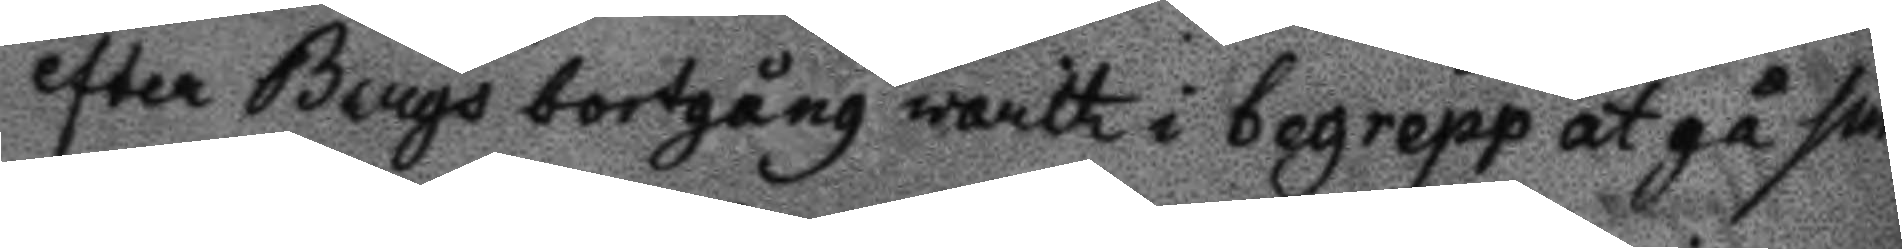efter Bergs bortgång warit i begrepp at gå sin
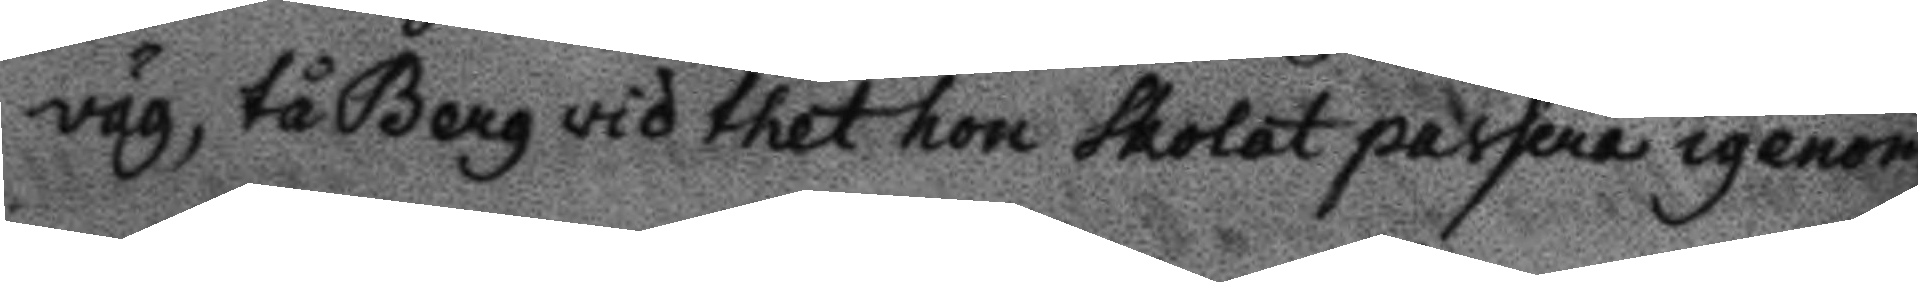väg, tå Berg vid thet hon skolat passera igenom
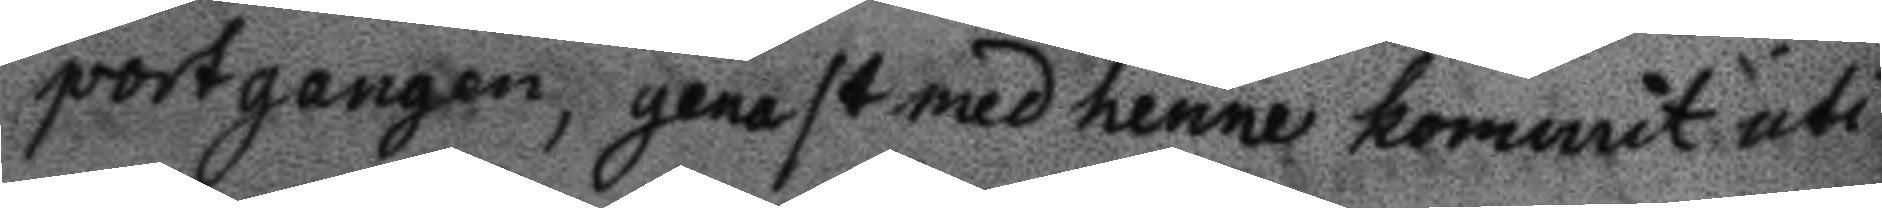portgången, genast med henne kommit uti
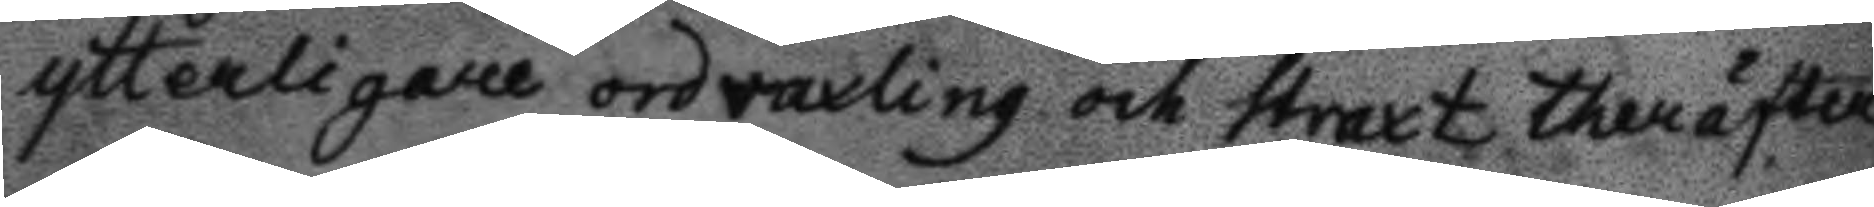ytterligare ordvaxling och straxt theräfter
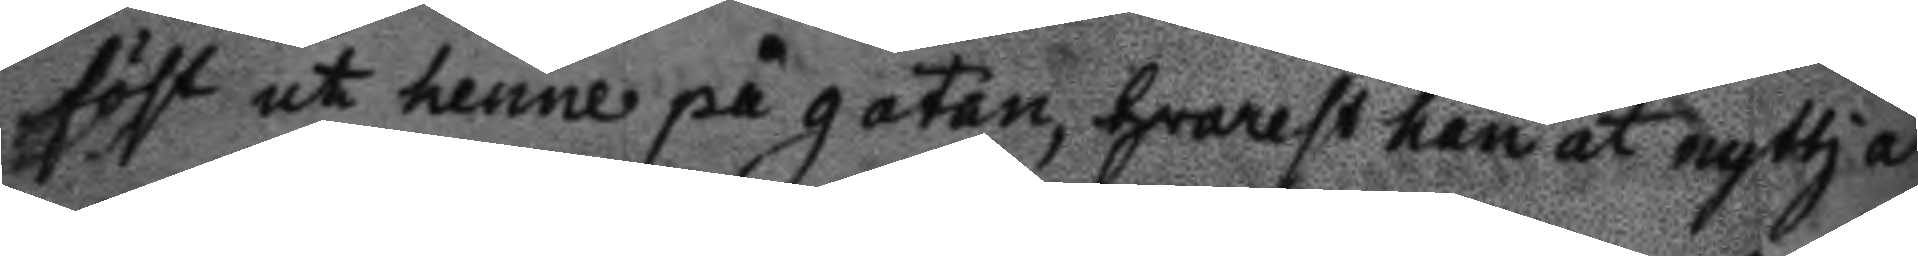föst ut henne på gatan, hvarset han at nyttja
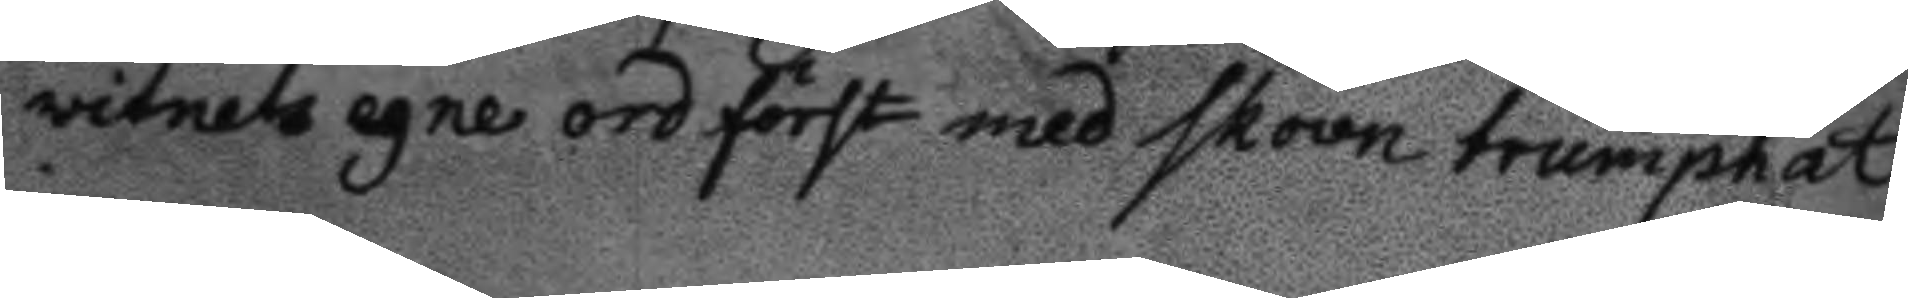vitnets egne ord först med skoon trumphat
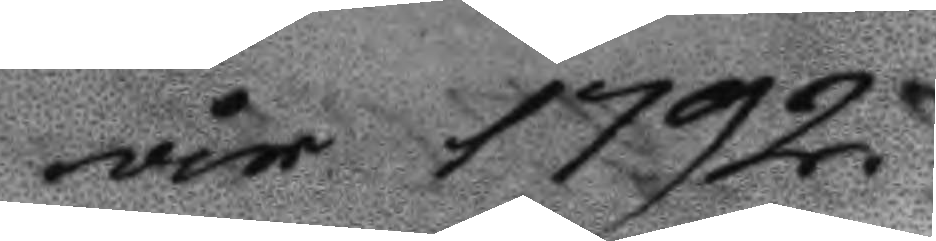år 1792.
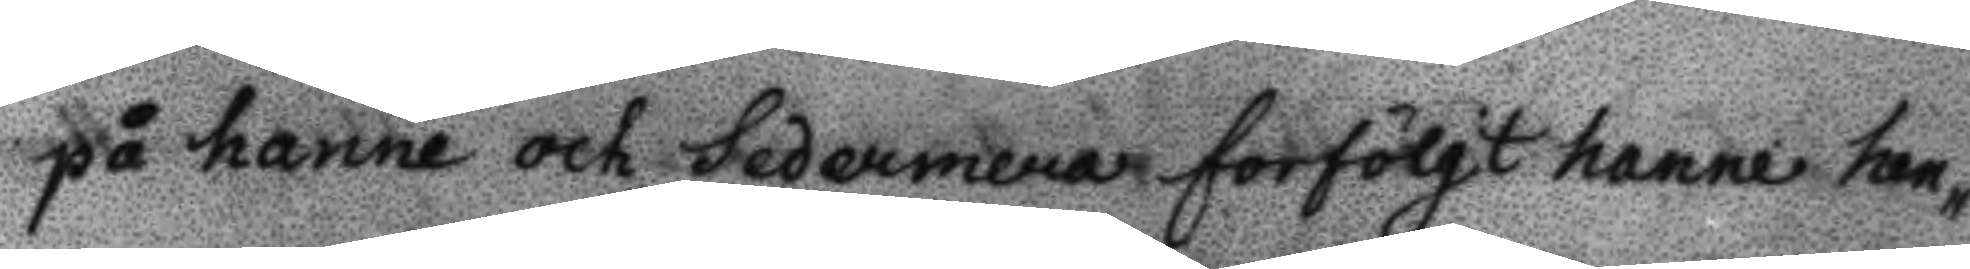på henne och sedermera förfölgt henne hen¬
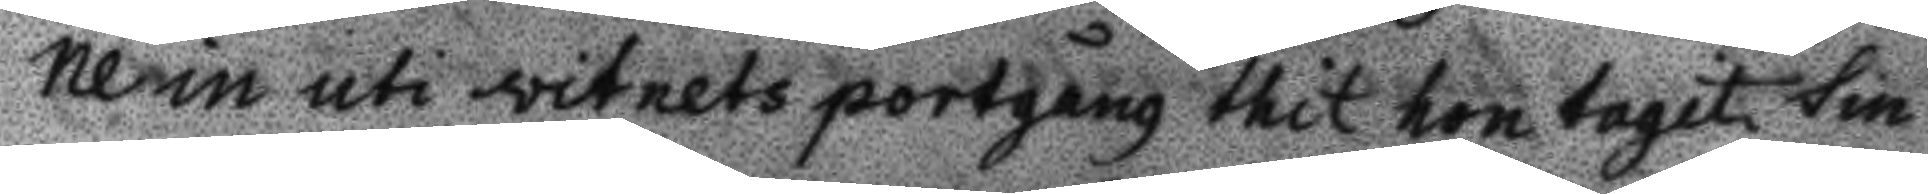ne in uti vitnets portgång thit hon tagit sin
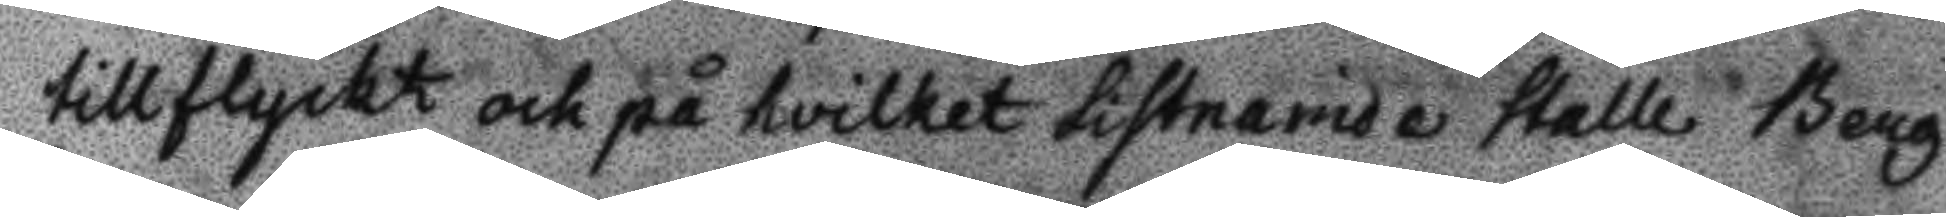tillflycht och på hvilket sistnamde stalle Berg
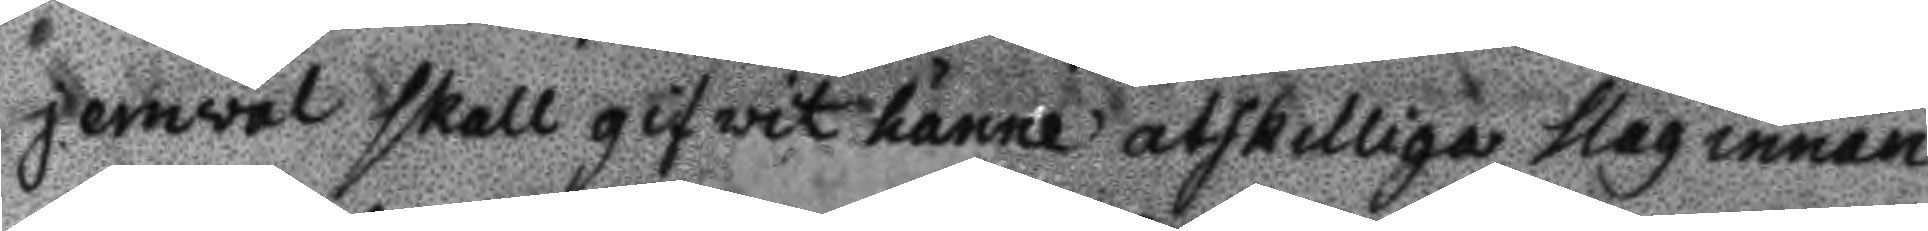jemwäl skall gifwit hänne atskilliga slag innan
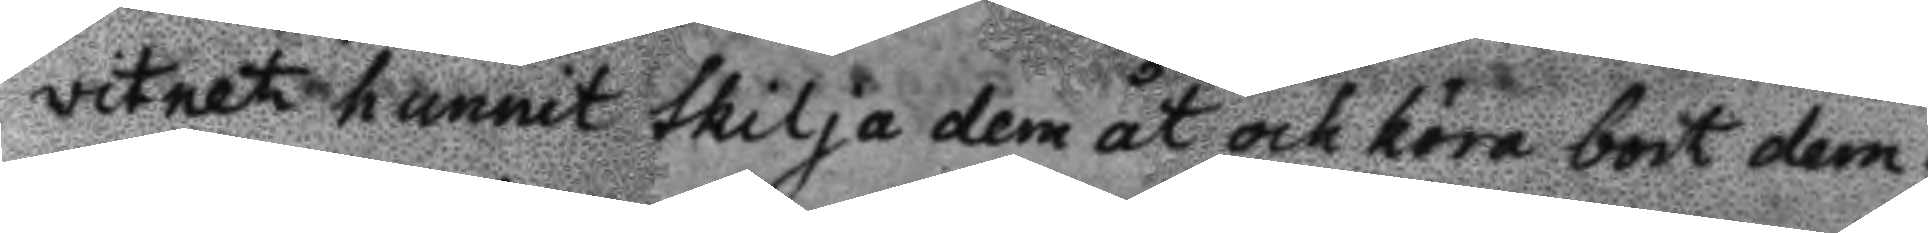vitnet hunnit skilja dem åt och köra bort den;
